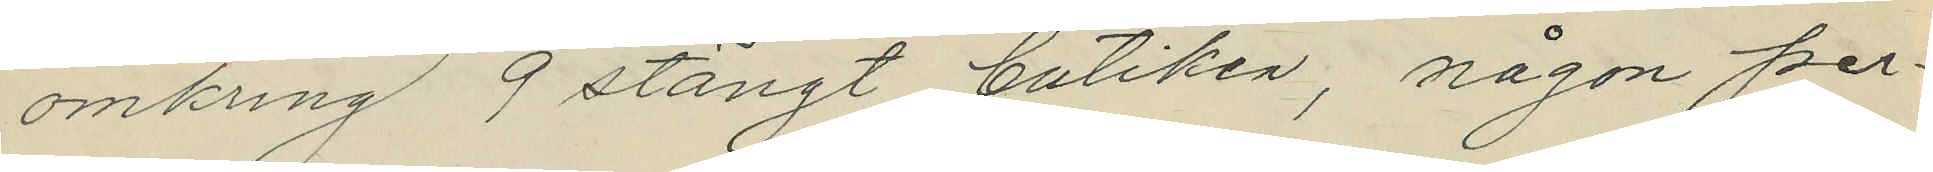omkring 9 stängt butiken, någon per¬
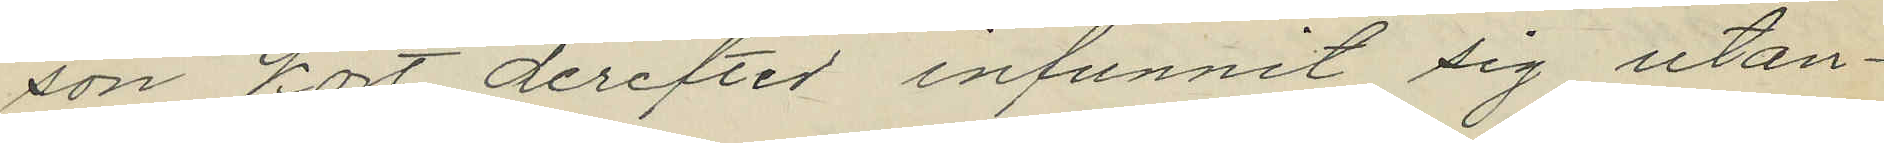son kort derefter infunnit sig utan¬
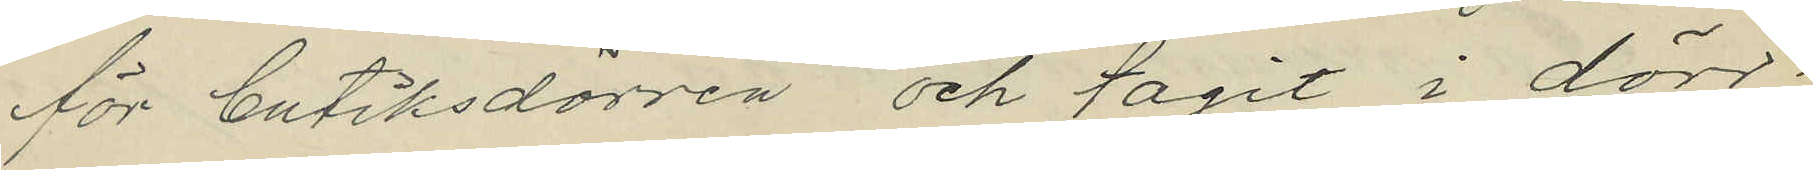för butiksdörren och tagit i dörr¬
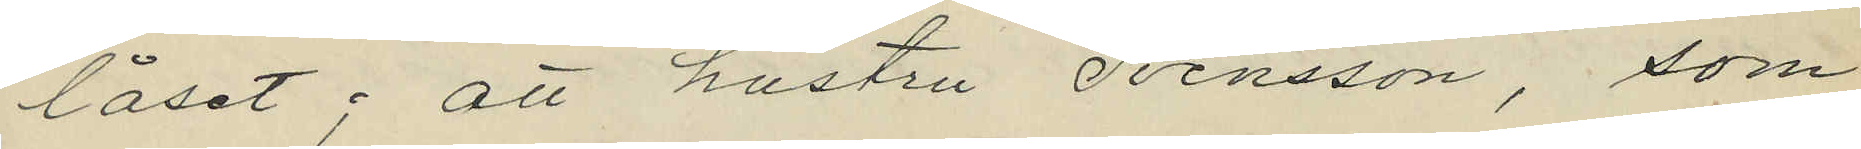låset; att hustru Svensson, som
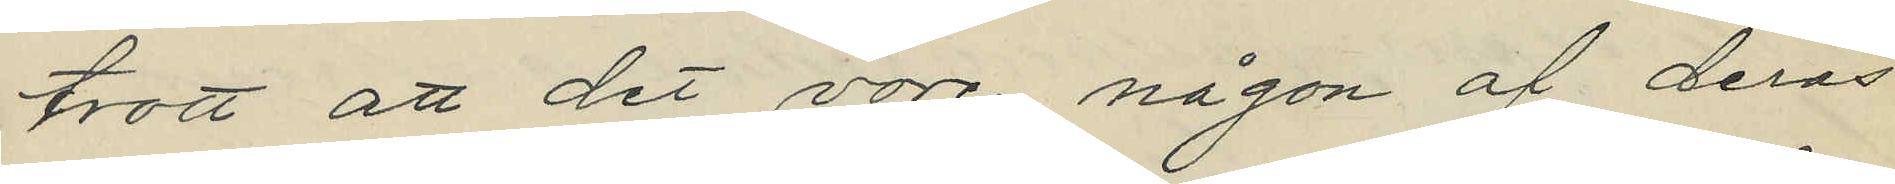trott att det vore någon af deras
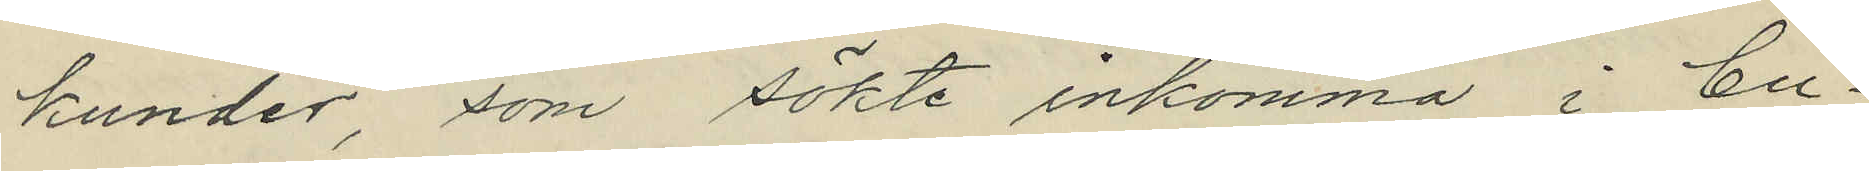kunder, som sökte inkomma i bu¬
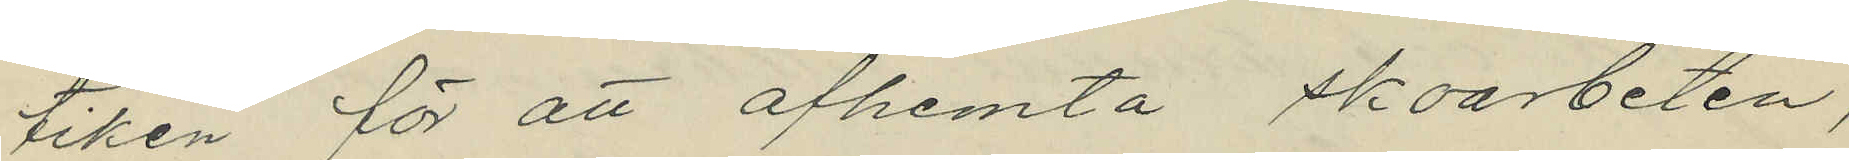tiken för att afhemta skoarbeten,
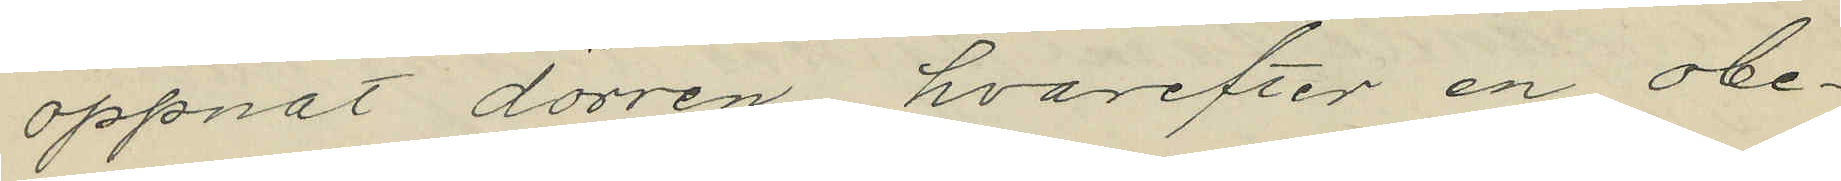öppnat dörren, hvarefter en obe¬
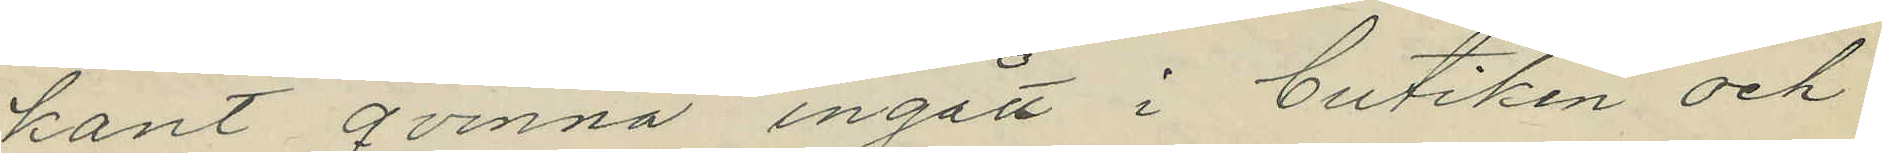kant qvinna ingått i butiken och
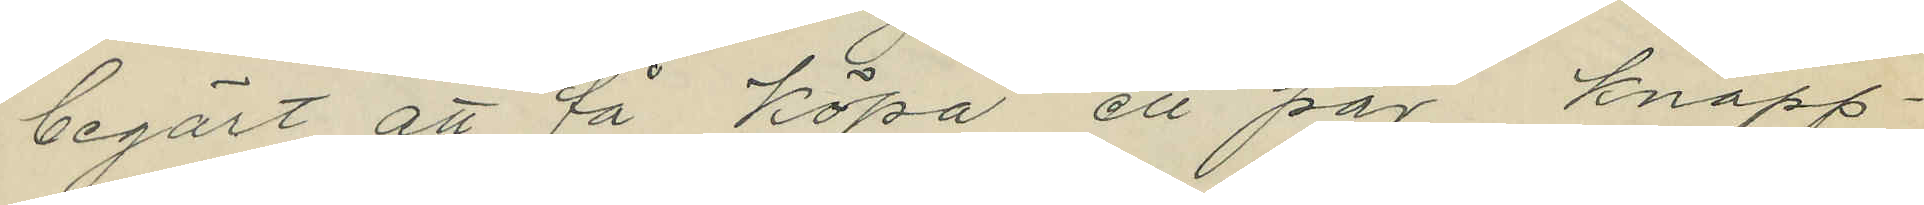begärt att få köpa ett par knäpp¬
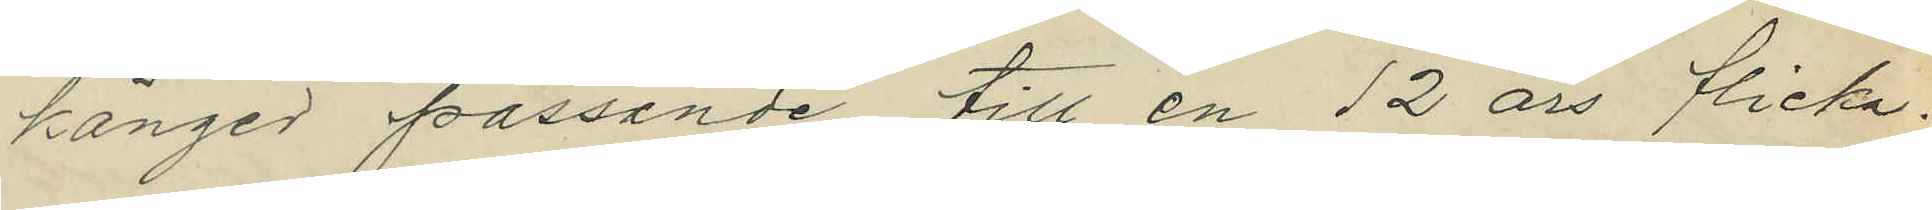känger passande till en 12 års flicka;
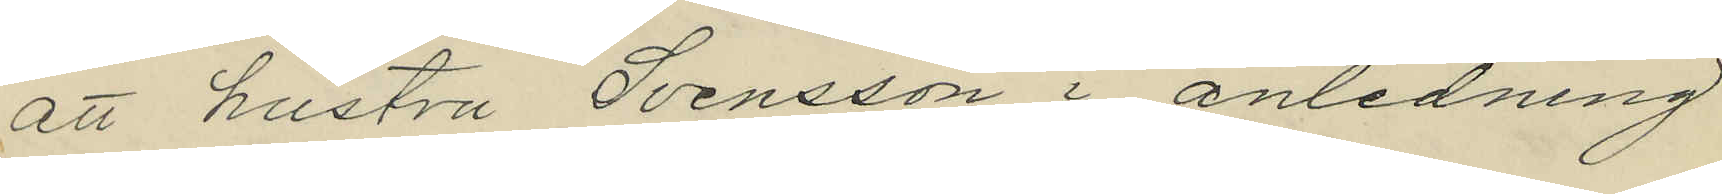att hustru Svensson i anledning
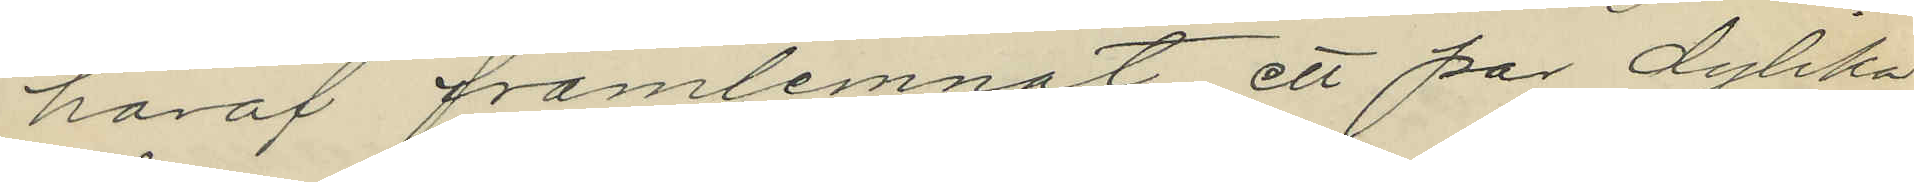häraf framlemnat ett par dylika
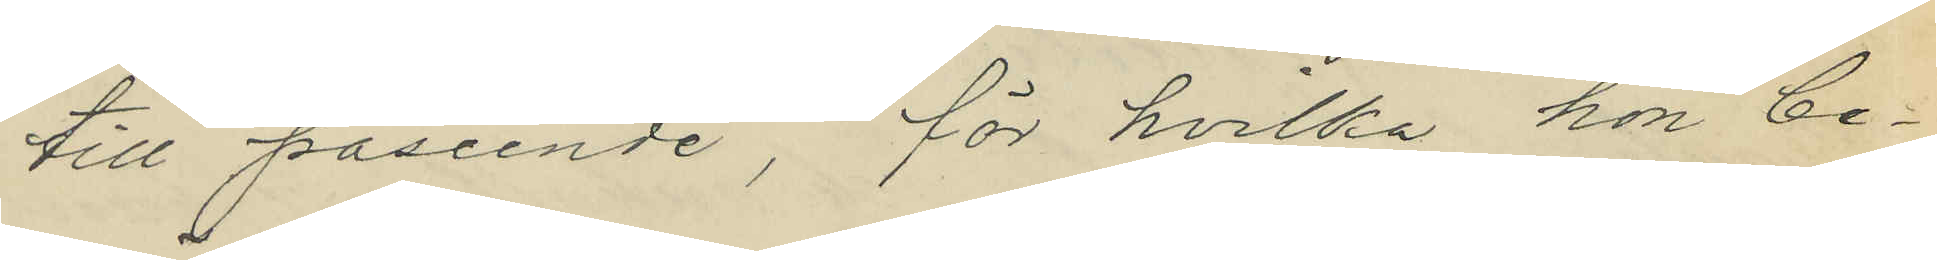till påseende, för hvilka hon be¬
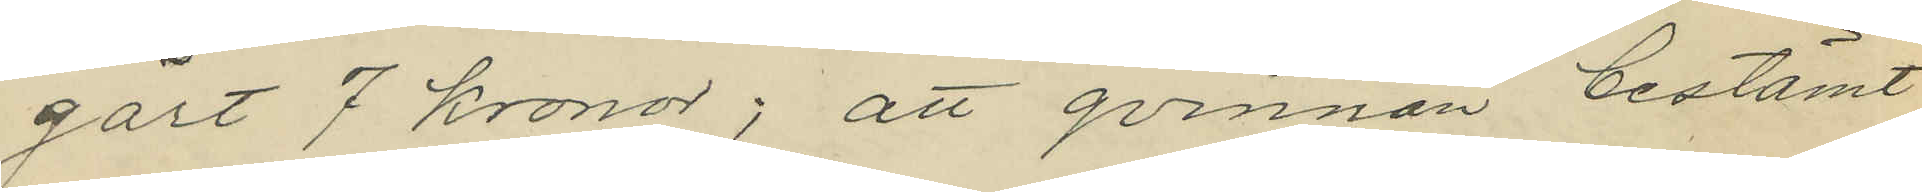gärt 7 kronor; att qvinnan bestämt
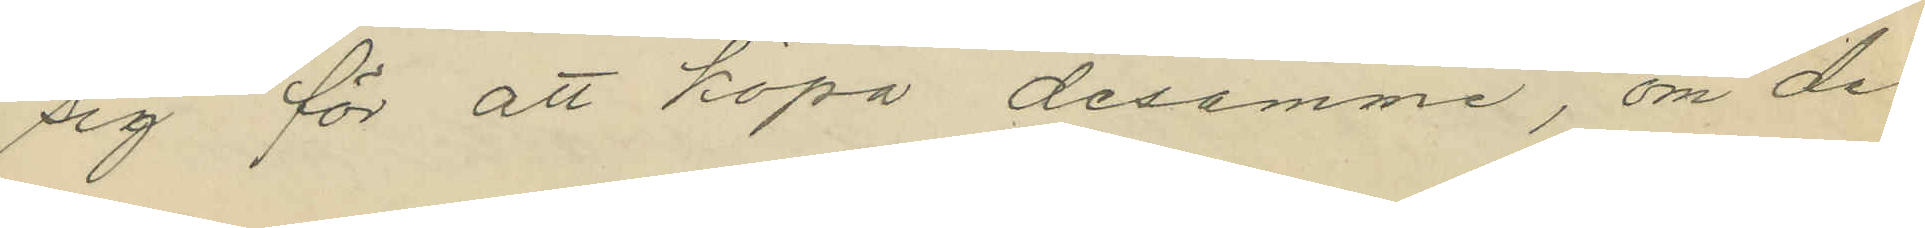sig för att köpa desamme, om de
